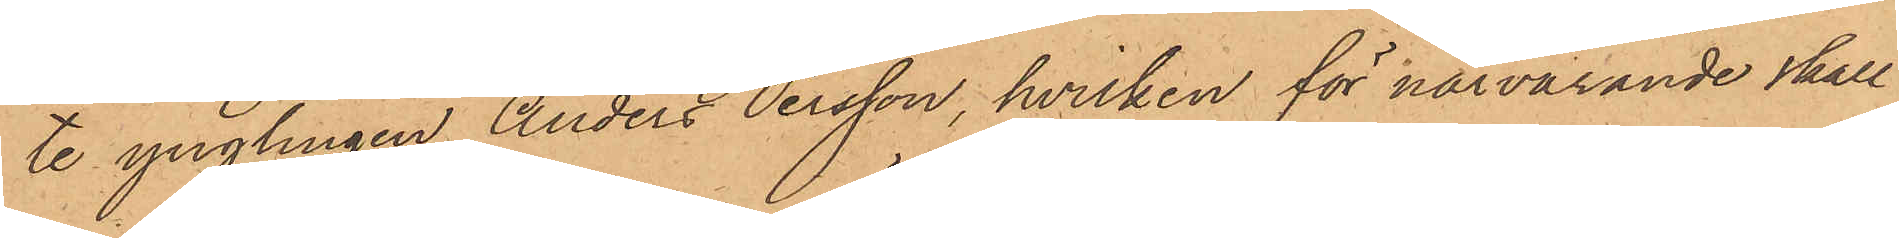te ynglingen Anders Persson, hvilken för närvarande skall
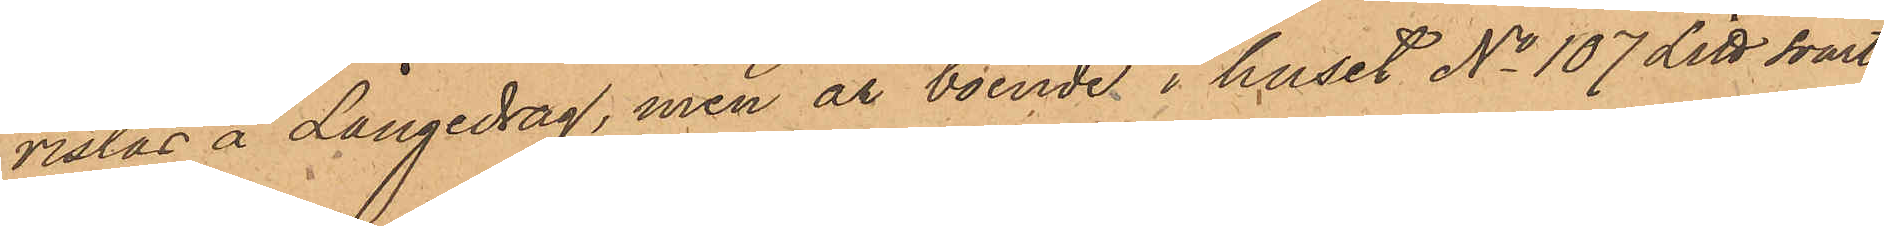vistas å Långedrag, men är boende i huset No 107 Litt svart
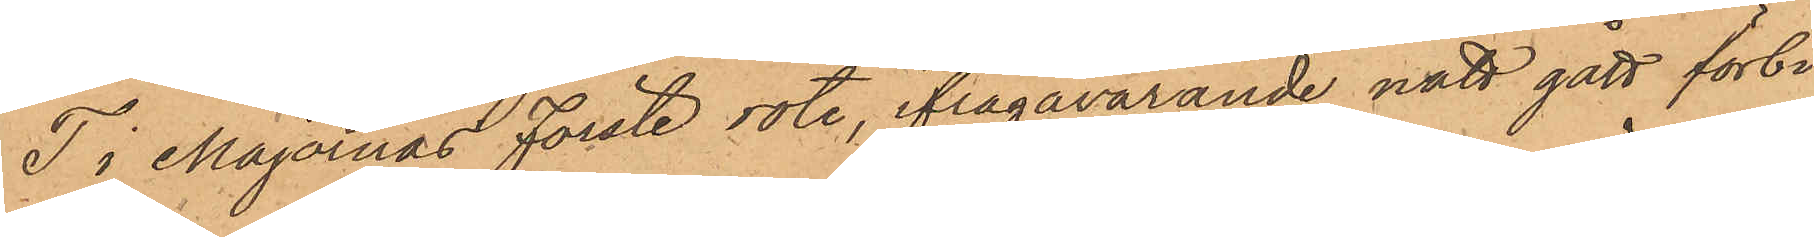T i Majornas Förste rote, ifrågavarande natt gått förbi
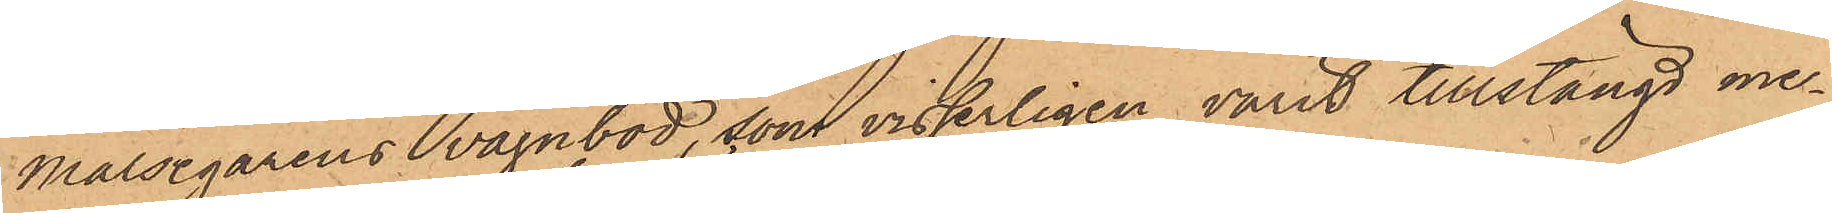Målsegarens vagnbod, som visserligen varit tillstängd me¬
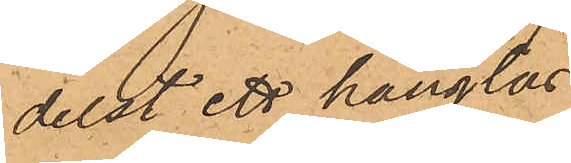delst ett hänglås
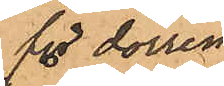för dörren
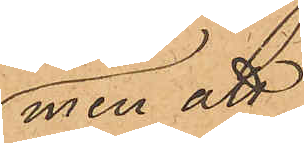men att
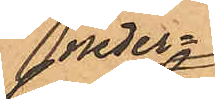neder¬
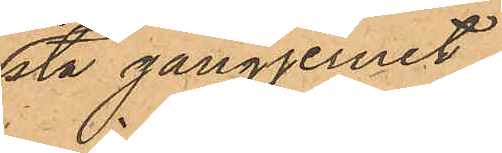sta gångjernet
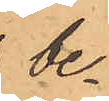be¬
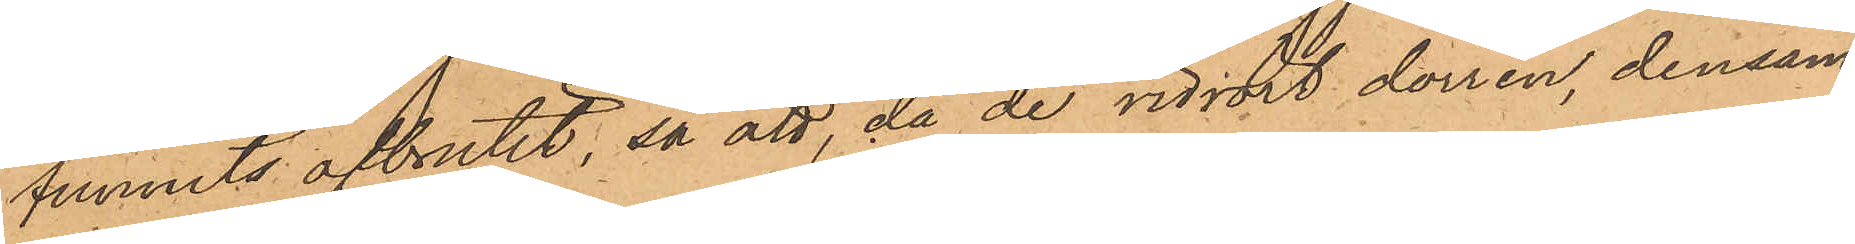funnits afbrutit, så att, då de vidrört dörren, densam¬
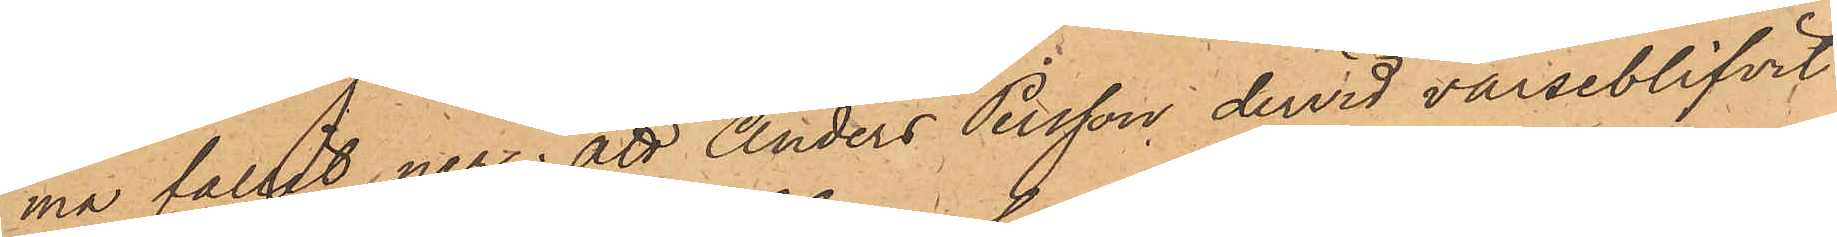ma fallit ner; att Anders Persson dervid varseblifvit
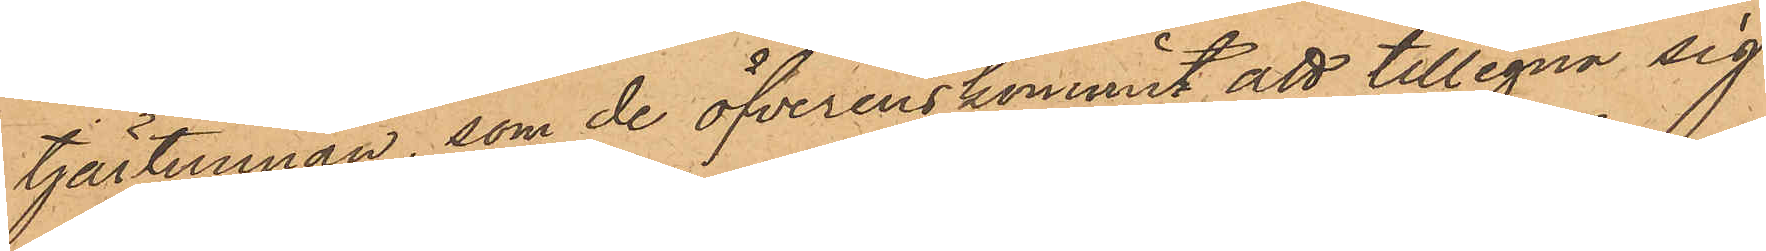tjärtunnan, som de öfverenskommit att tillegna sig
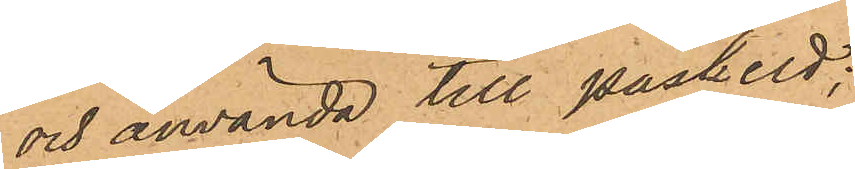och använda till påskeld;
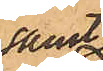samt
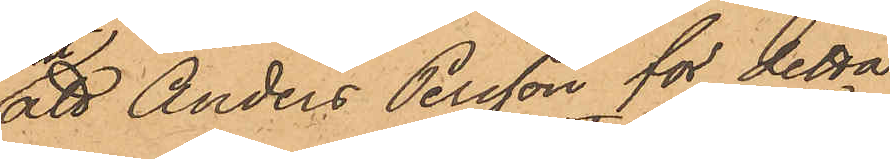att Anders Persson för detta
